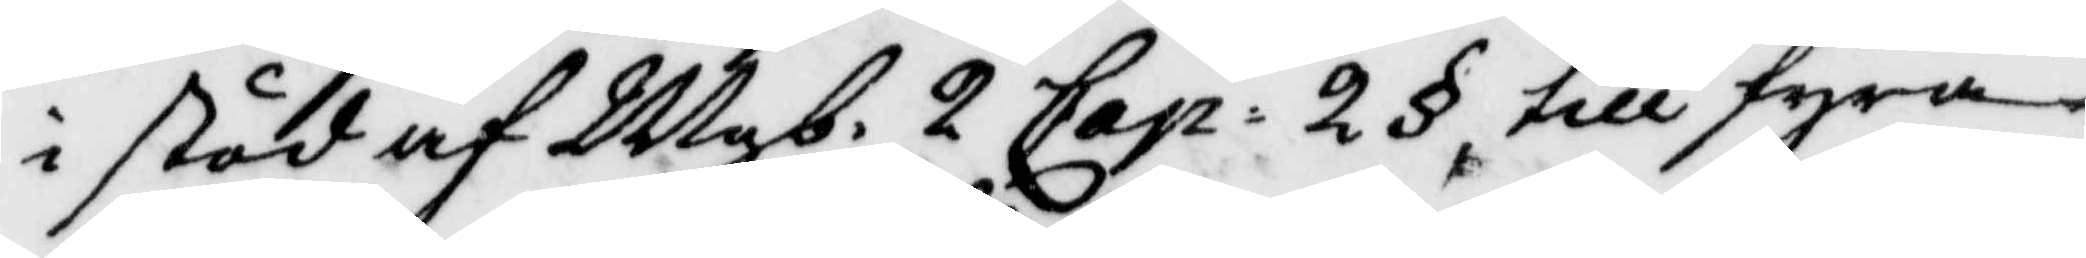i stöd af Mgb. 2 Cap. 2 § till fyra¬
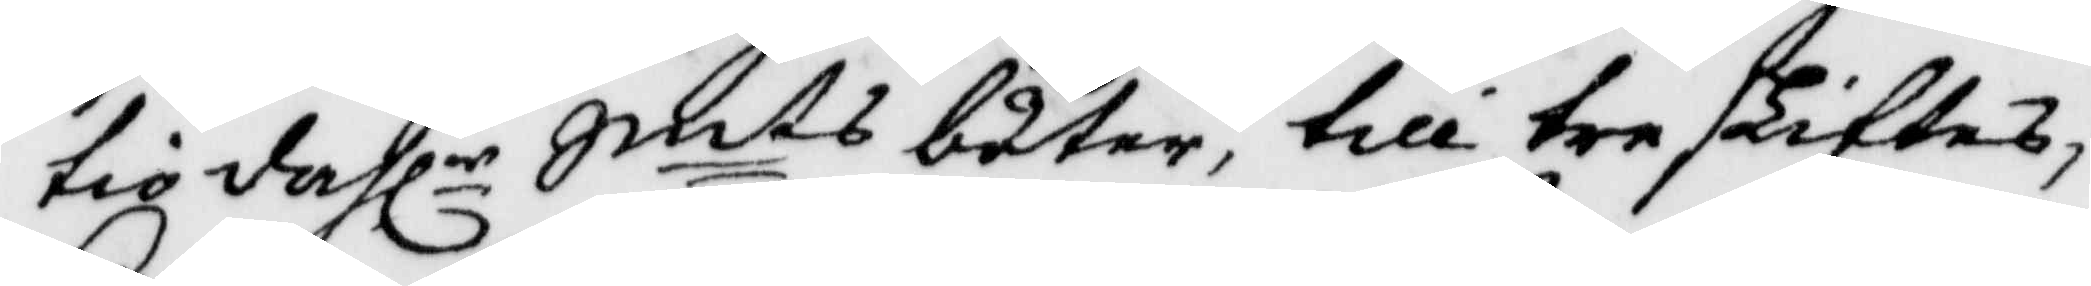tio dahlr Smts böter, till treskiftes,
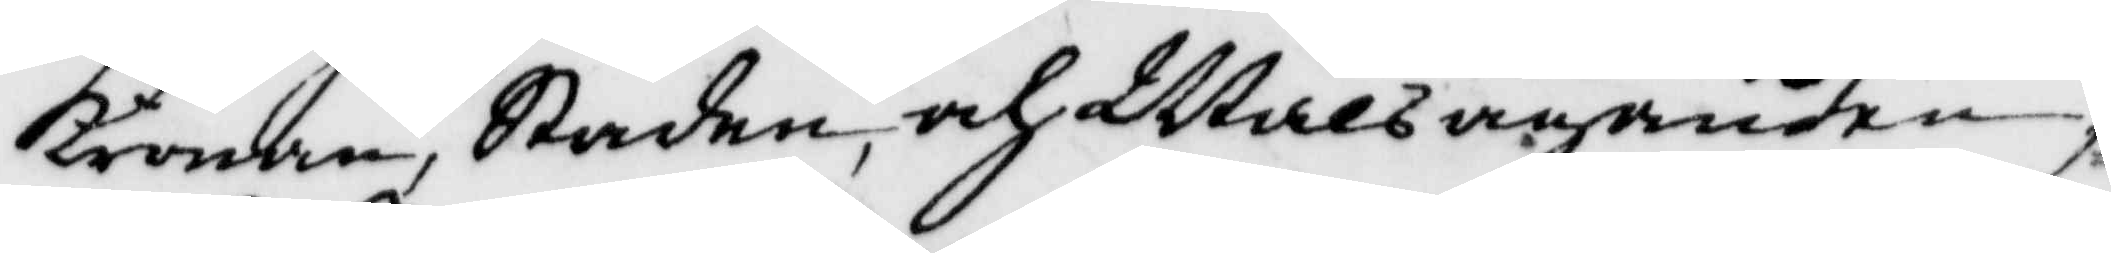Kronan, Staden och Målsäganden,
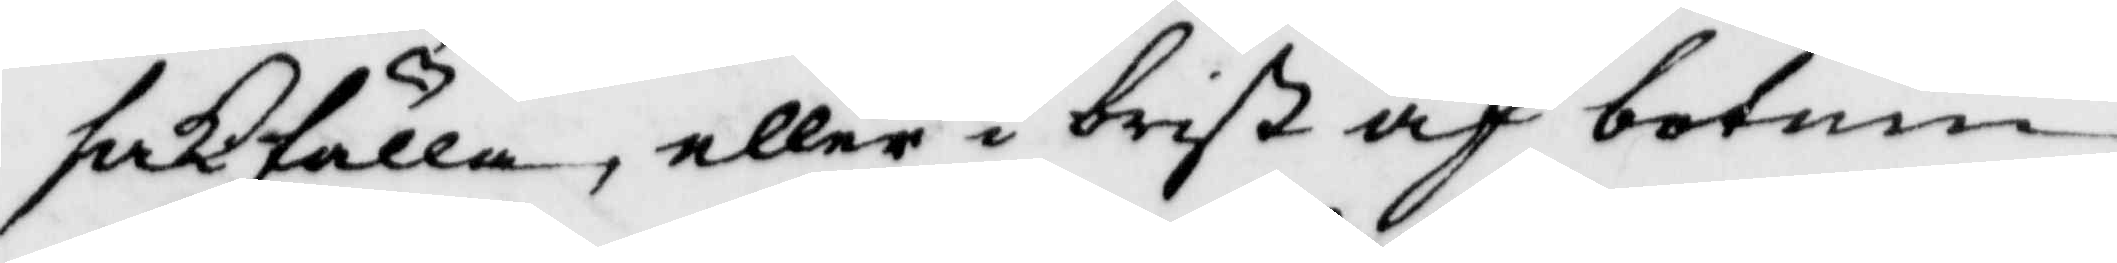sakfälla, eller i brist af botum
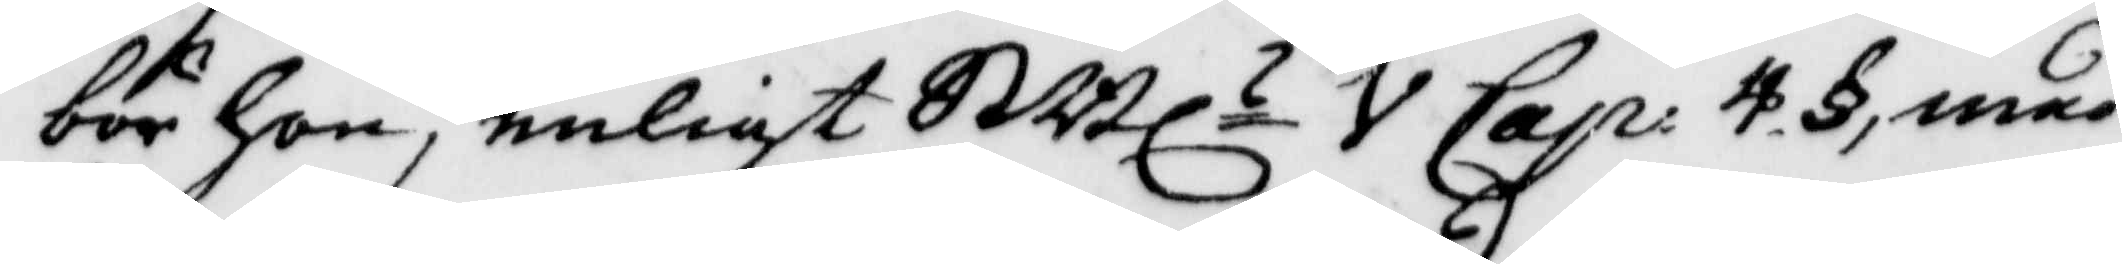bör hon, enligt SMl V Cap. 4 §, med
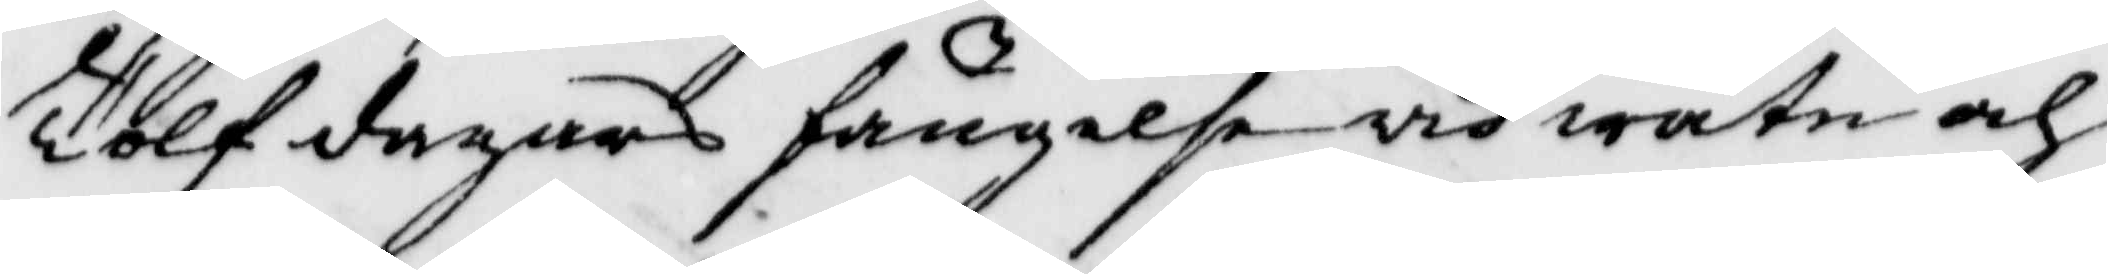Tolf dagars fängelse vid watn och
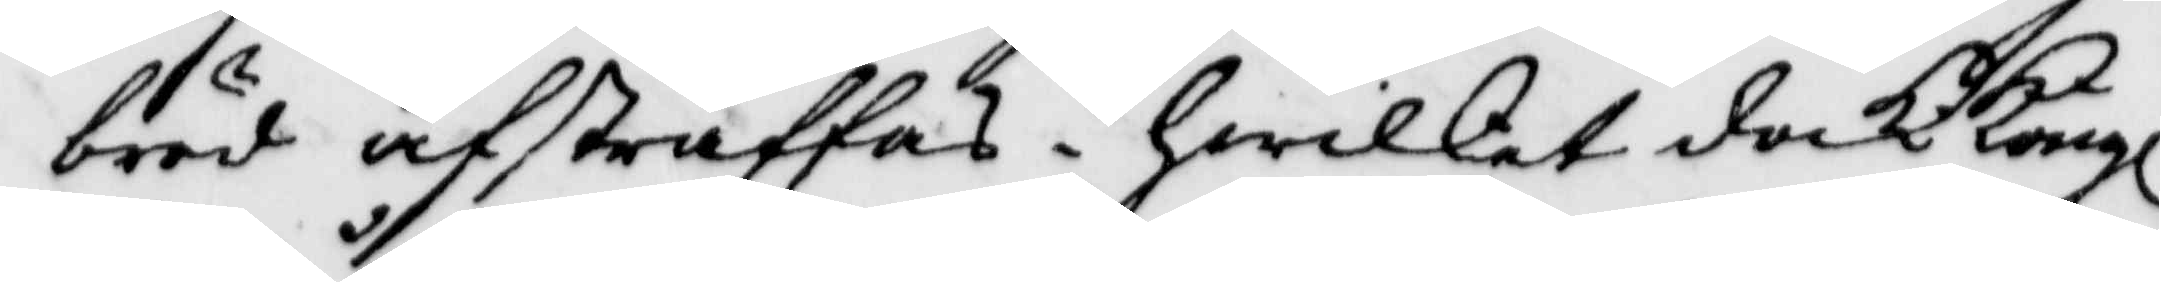bröd afstraffas. hwilket dock Kongl
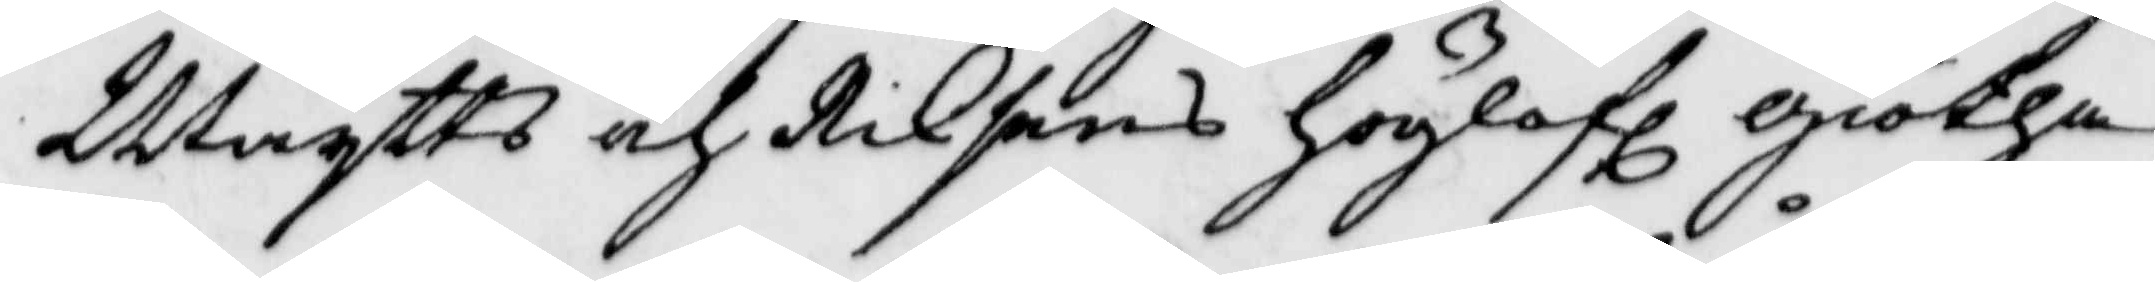Maytts och Riksens höglofl giötha
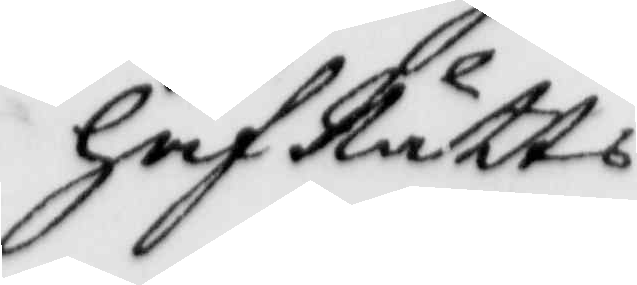håfRätts
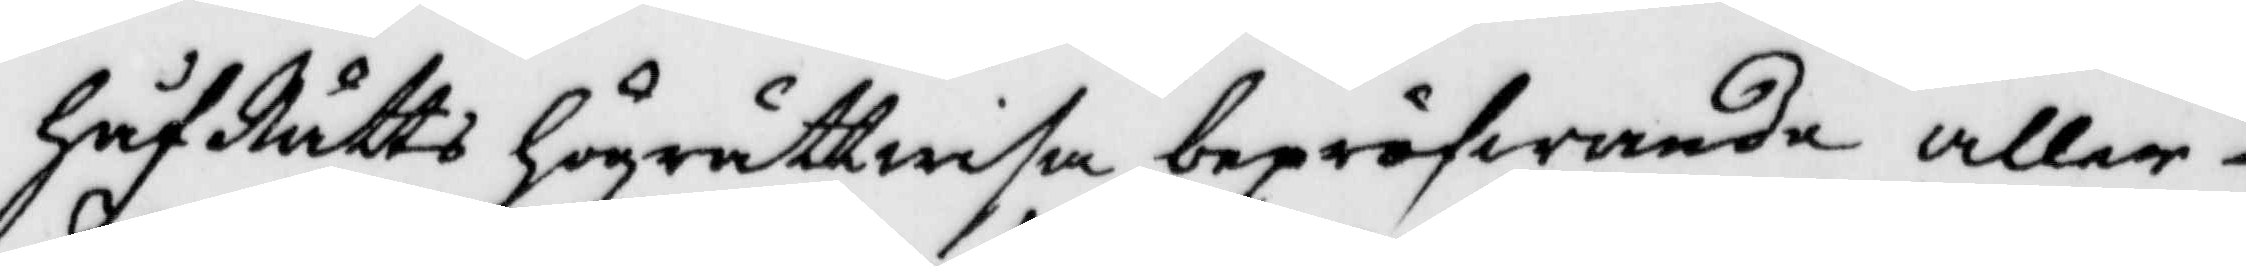håfRätts högrättwisa bepröfwande aller¬
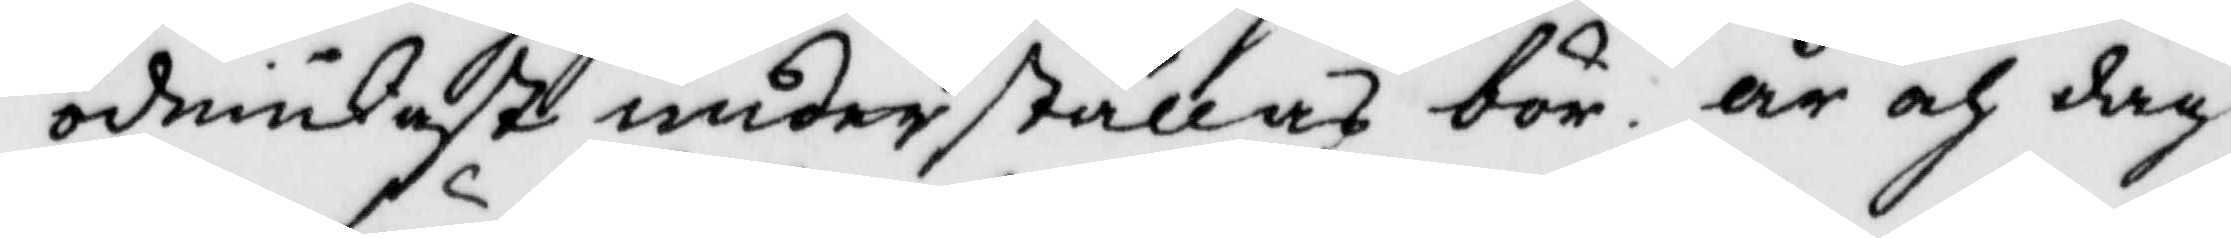ödmiukast underställas bör. år och dag
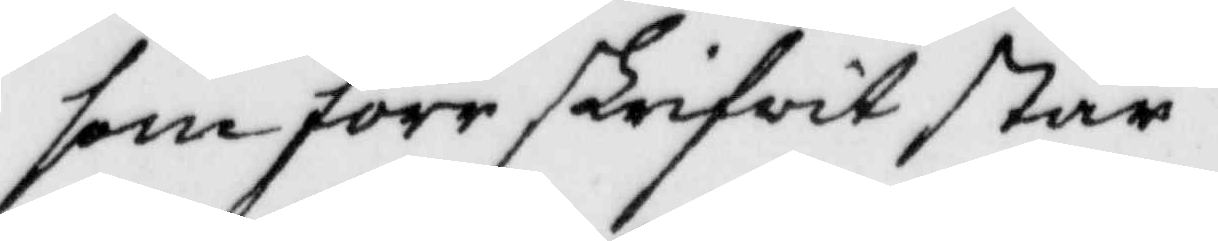som förr skrifvit står.
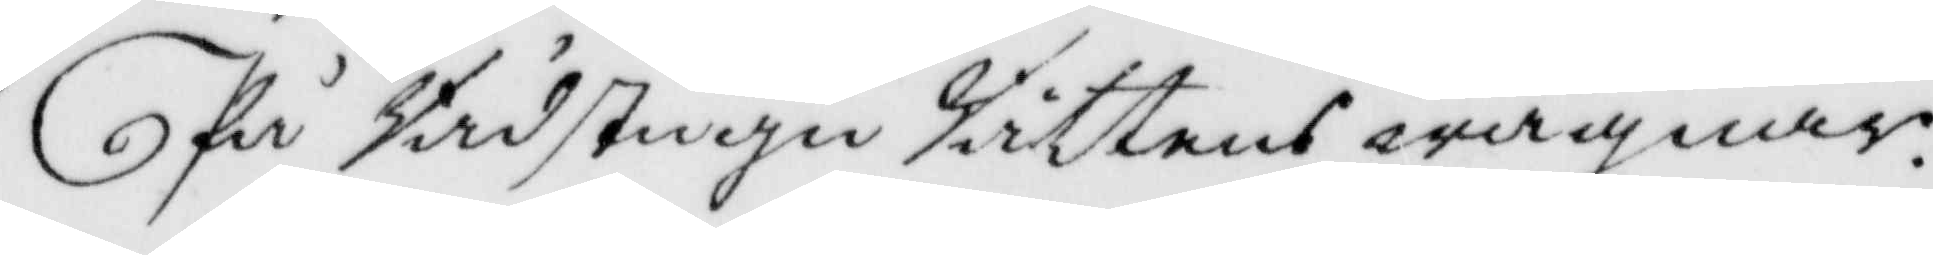På Rådstugu Rättens wägnar.
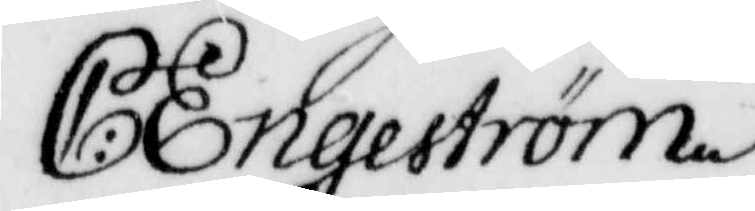C: Engeström
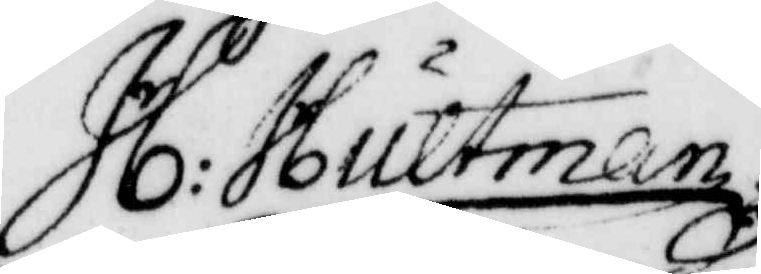H: Hultman.
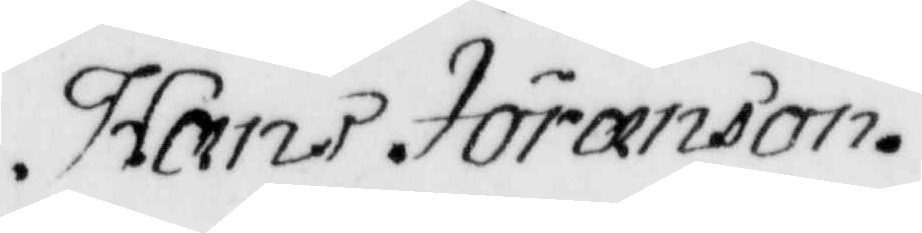Hans Jöranson.
